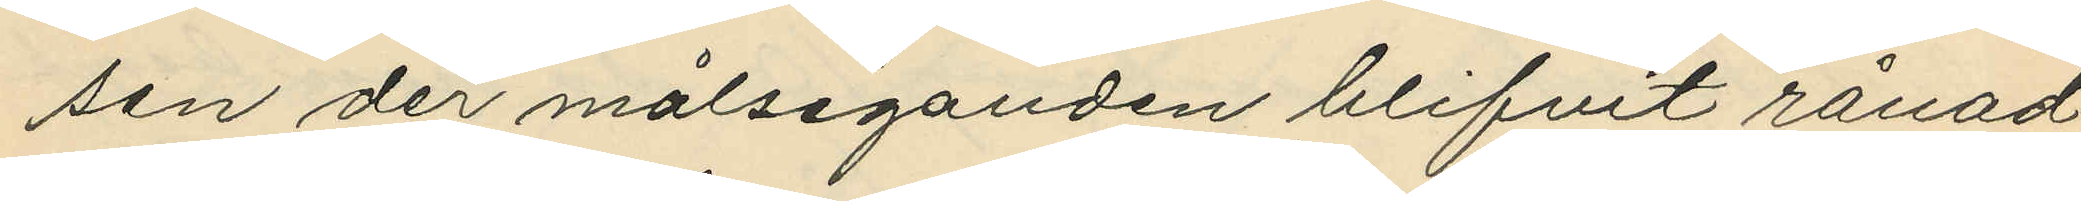sen der målseganden blifvit rånad
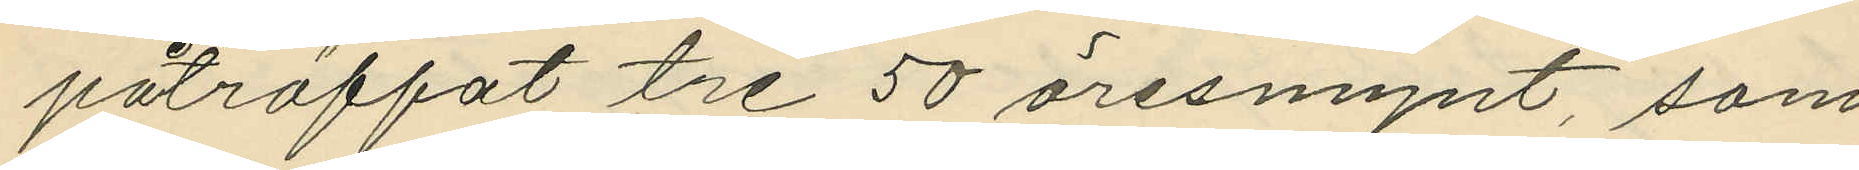påträffat tre 50 öresmynt, som
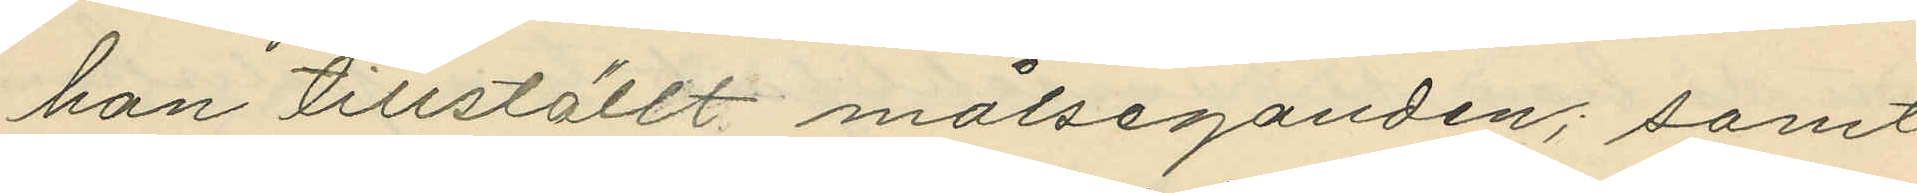han tillställt målseganden; samt
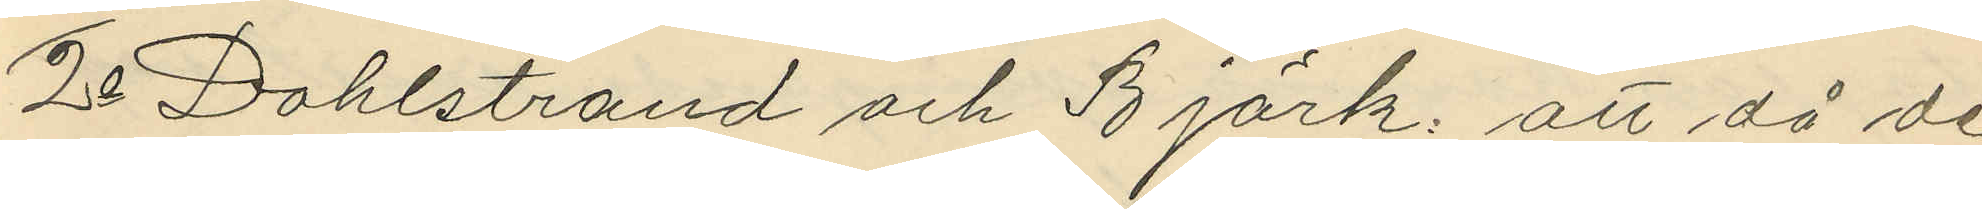2o Dahlstrand och Björk: att då de
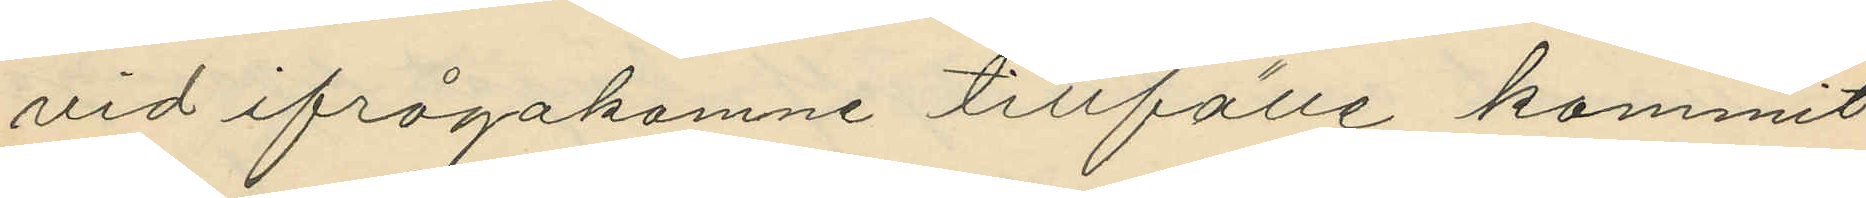vid ifrågakomne tillfälle kommit
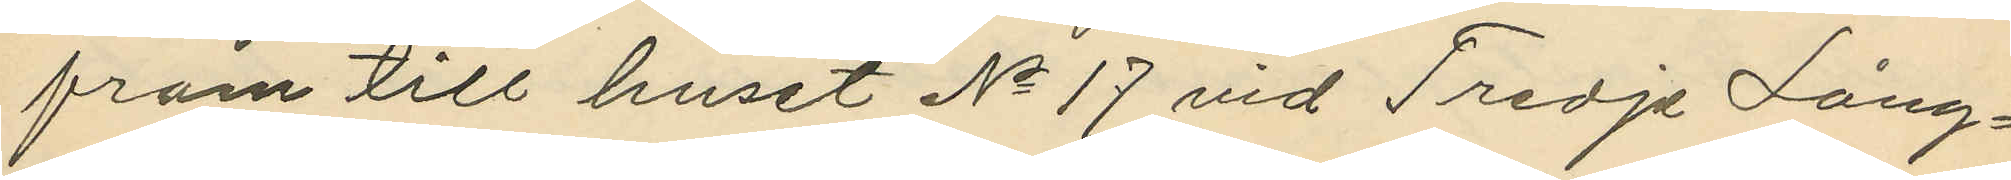fram till huset No 17 vid Tredje Lång¬
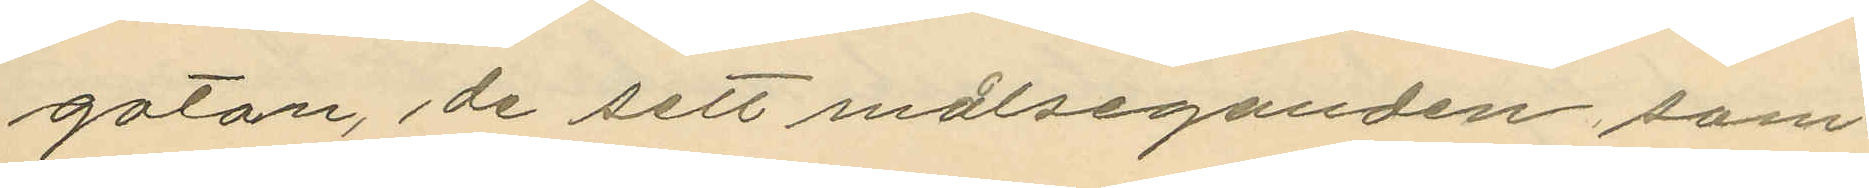gatan, de sett målseganden, som
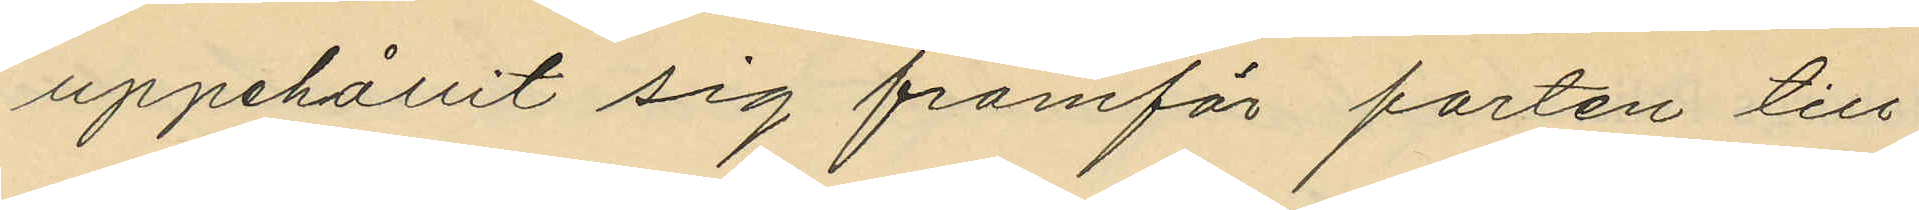uppehållit sig framför porten till
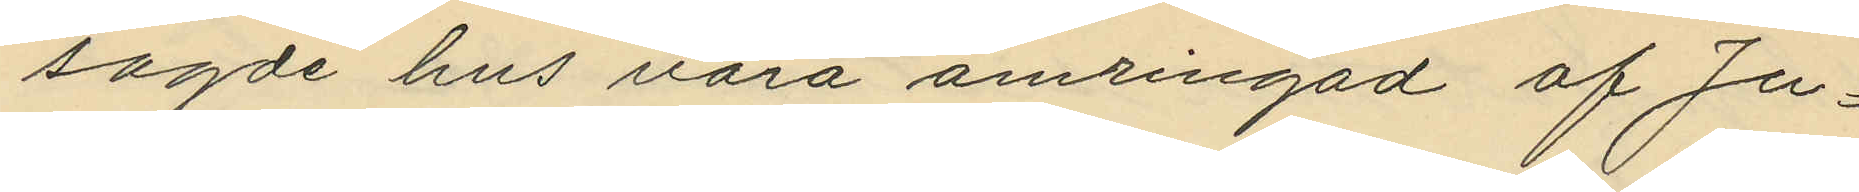sagde hus vara omringad af Ju¬
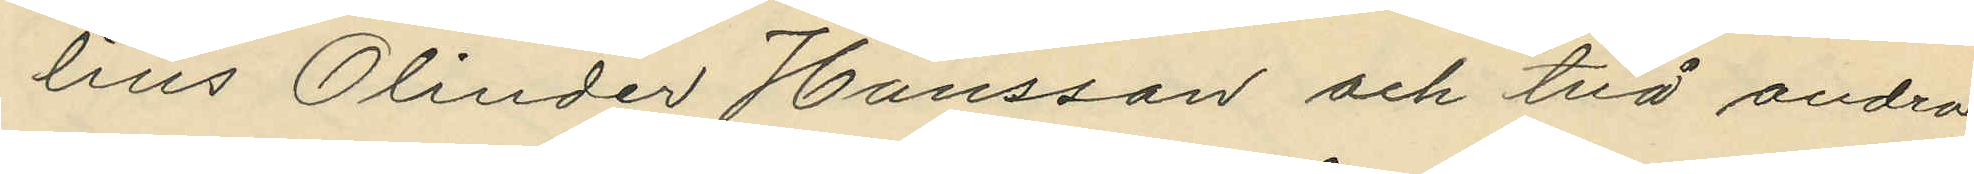lius Olinder Hansson och två andra
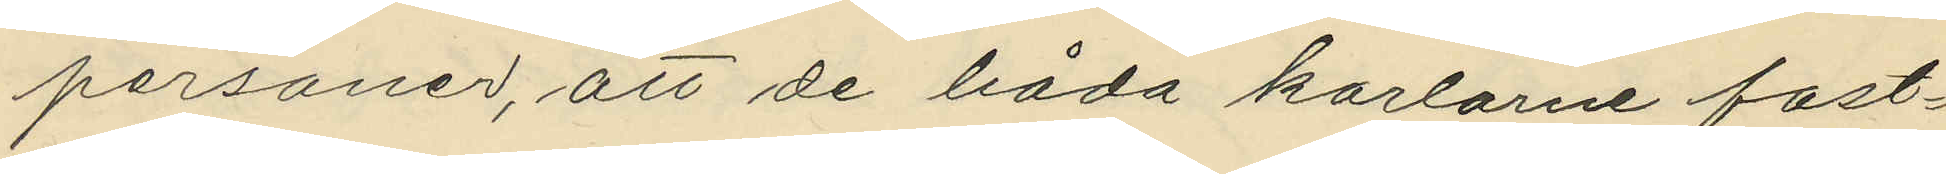personer, att de båda karlarne fast¬
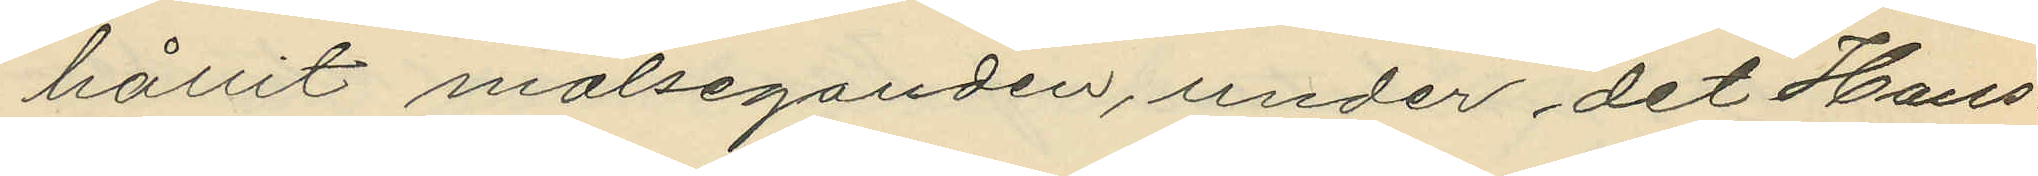hållit målseganden, under det Hans¬
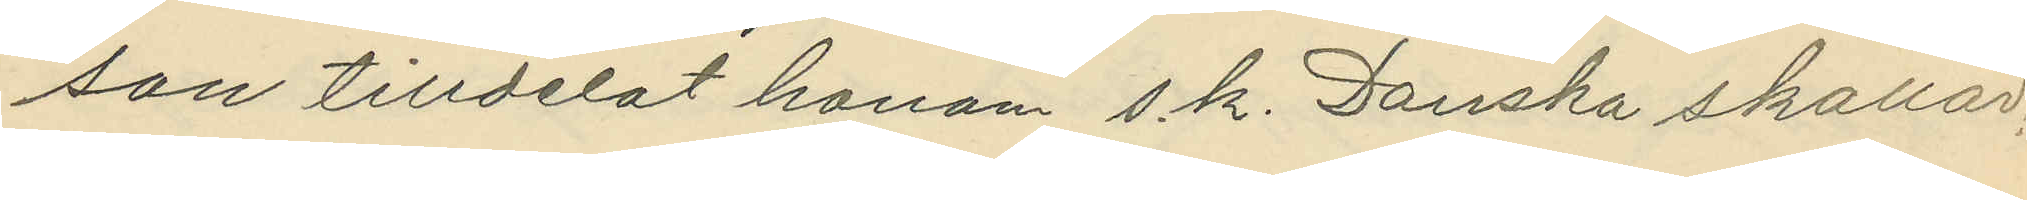son tilldelat honom s.k. Danska skallar;
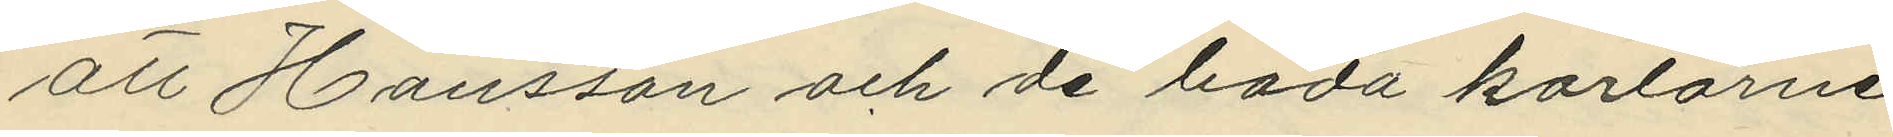att Hansson och de båda karlarne
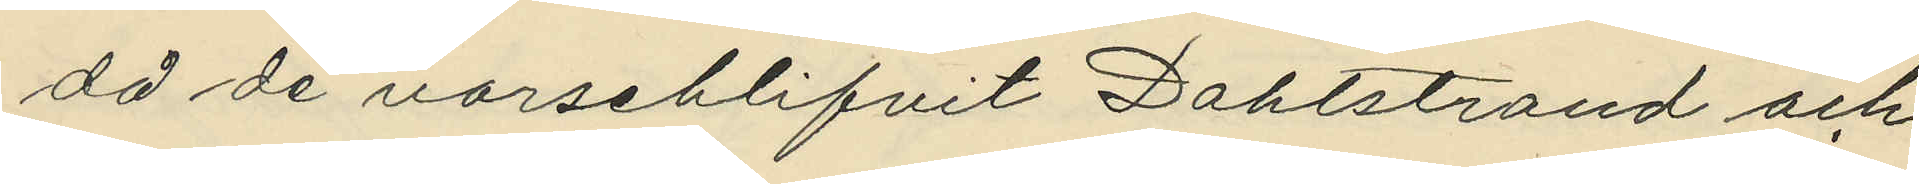då de varseblifvit Dahlstrand och
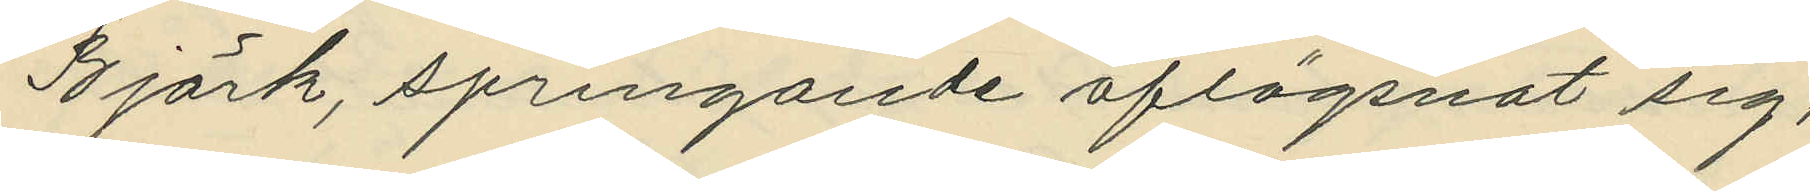Björk, springande aflägsnat sig,
